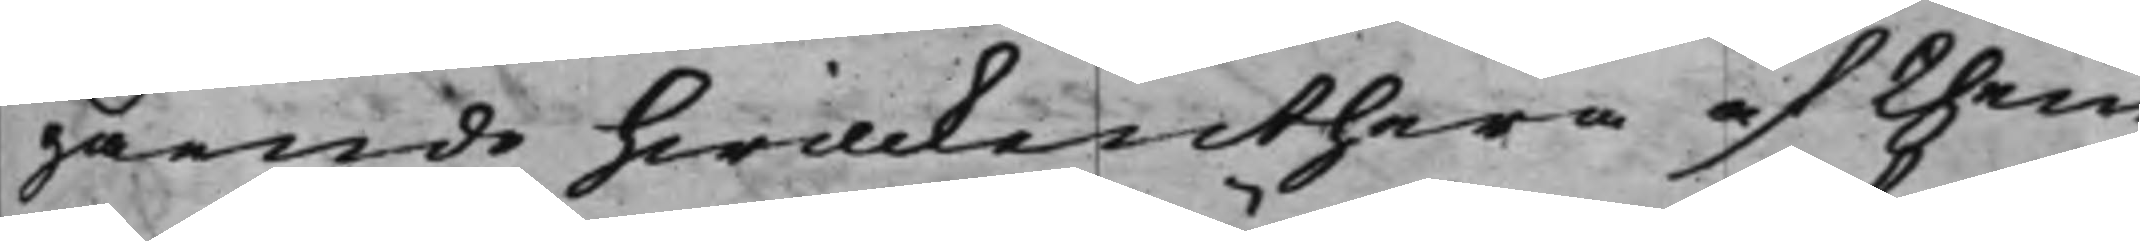gående hwilckenthera af them
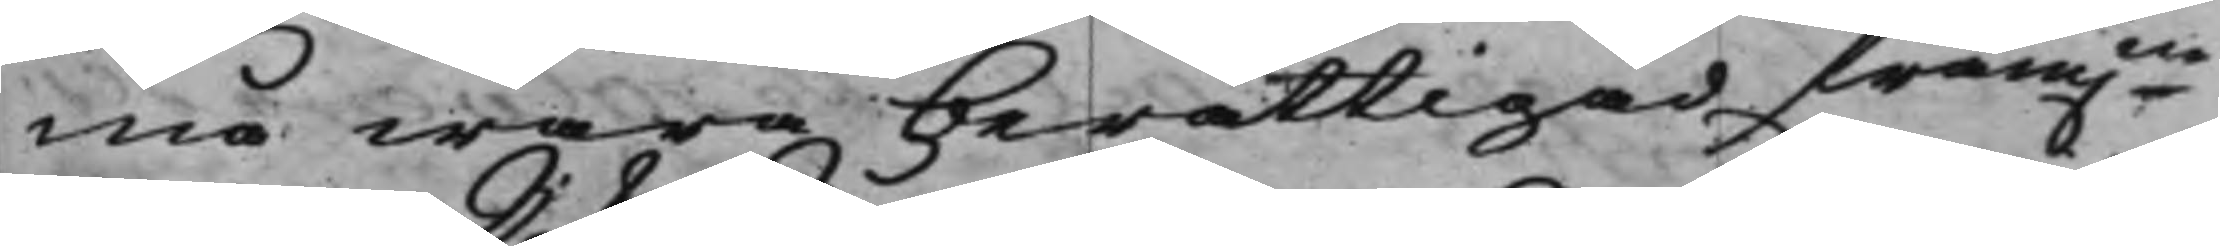må wara berättigad fram.ne
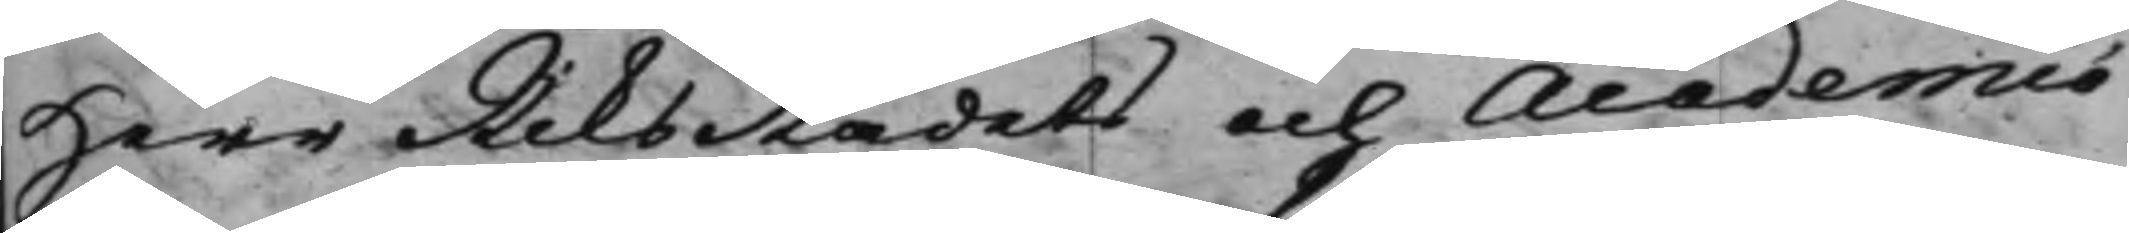Herr RiksRådets och Academiæ
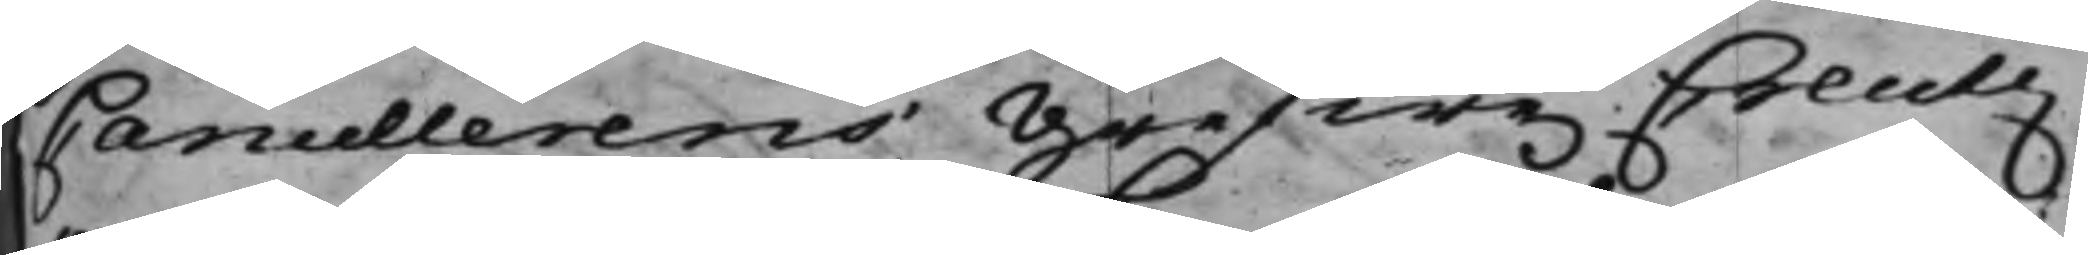Cancellerens Grefwe Creutz
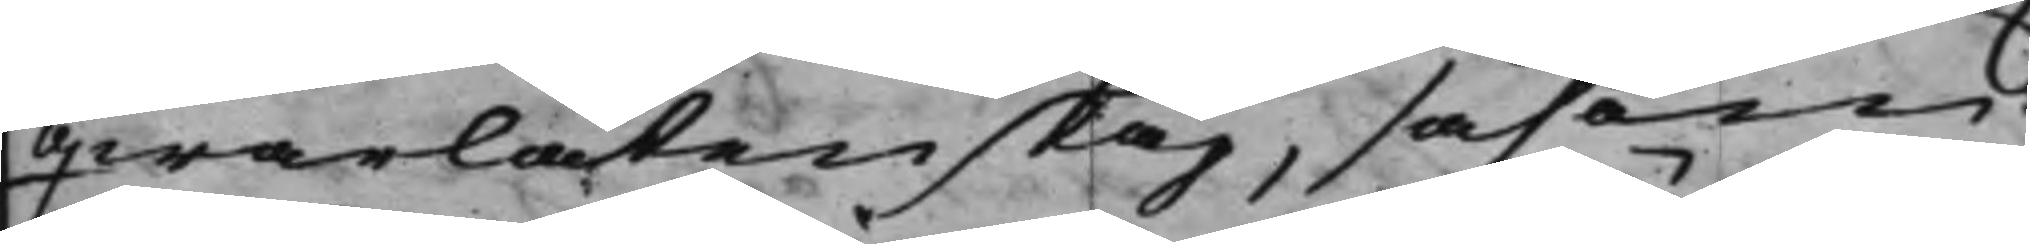qwarlåtenskap, såsom
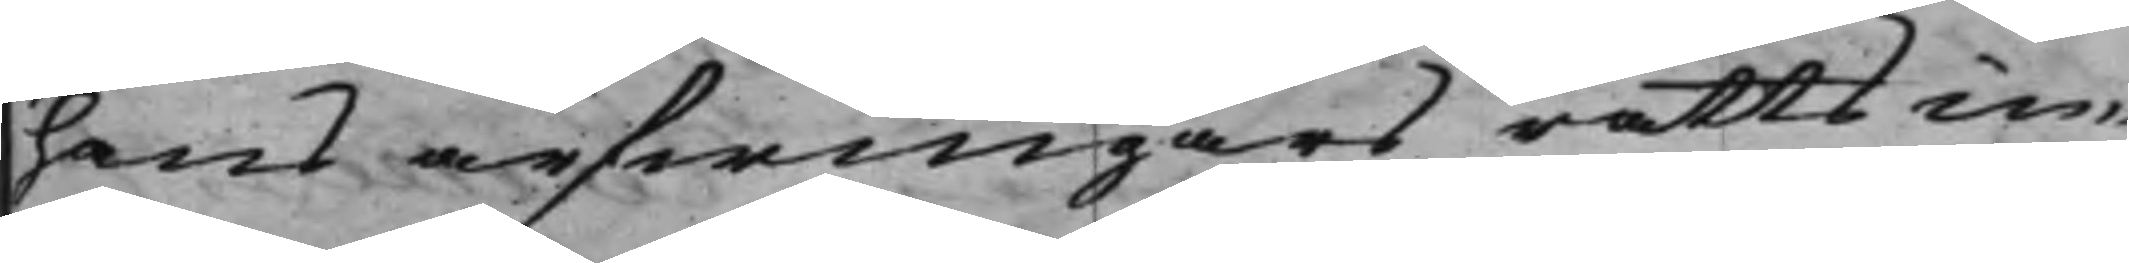hans arfwingars rättsin¬
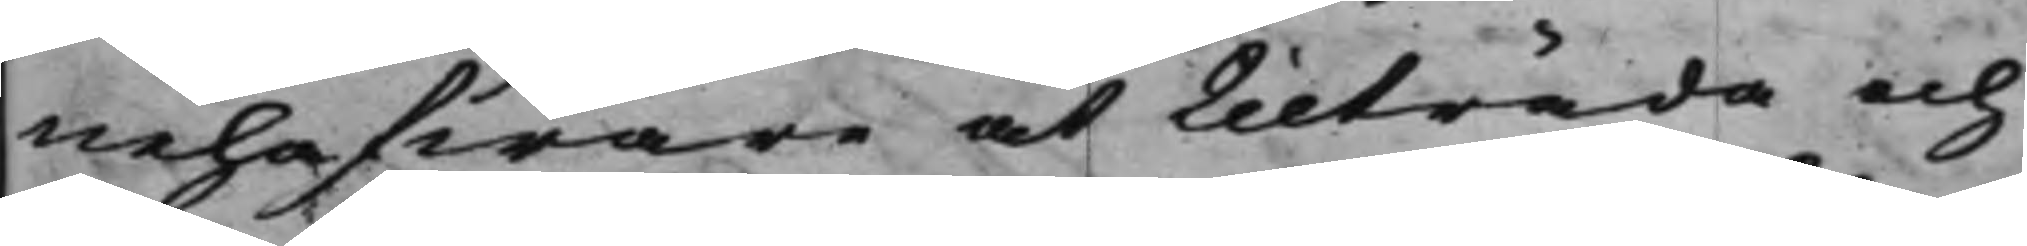nehafware at tilträda och
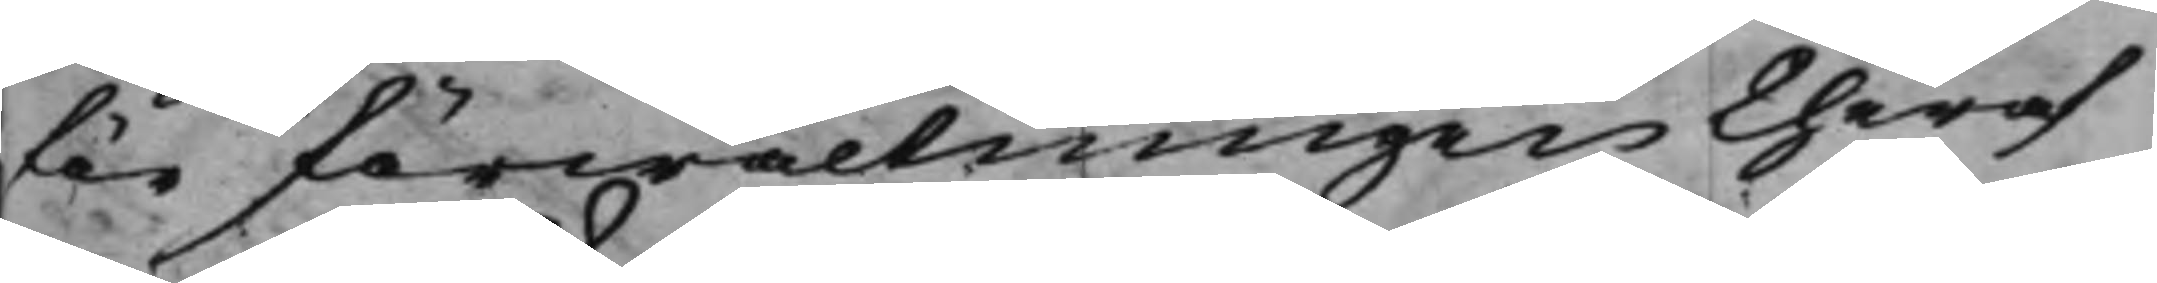för förwaltningen theraf
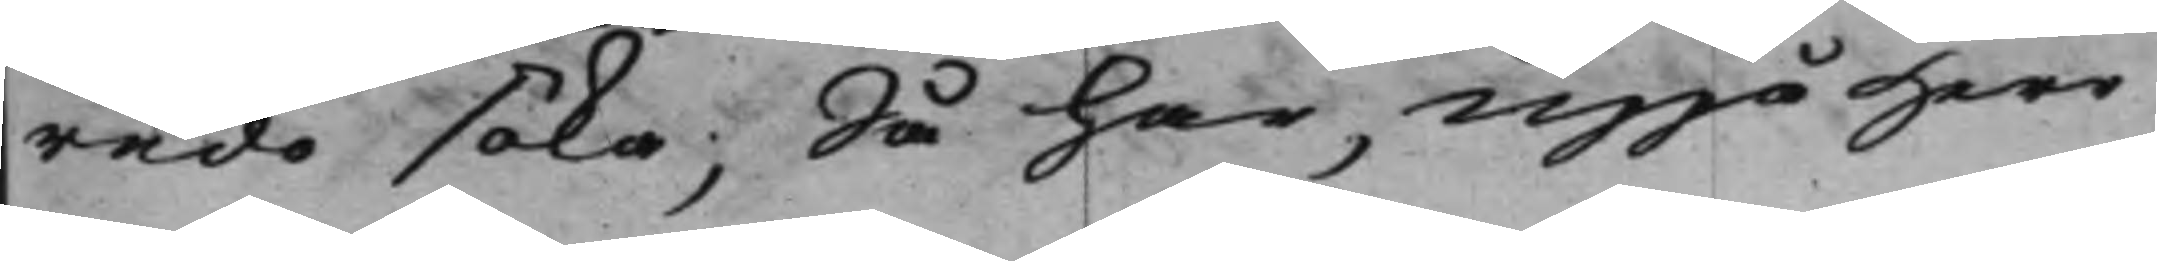redo söka; Så har, uppå Herr
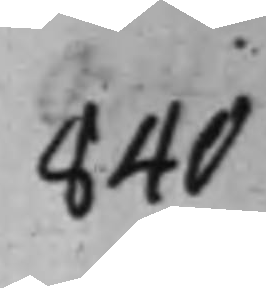840
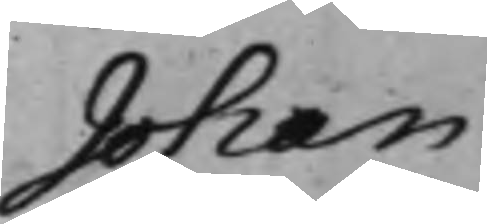Johan
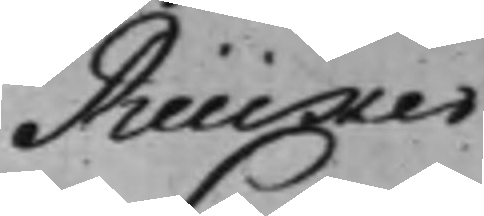Rücker
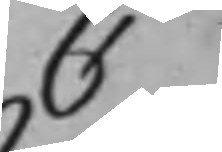C
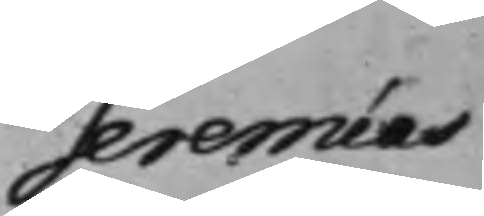Jeremias
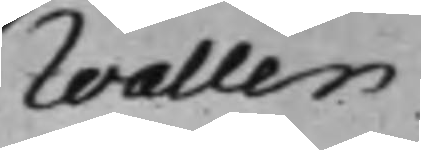Wallen
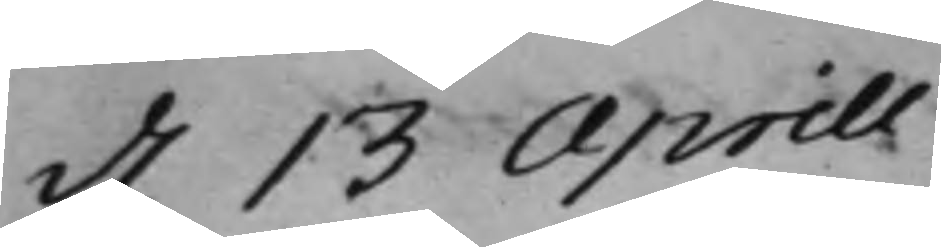d. 13 Aprill.
